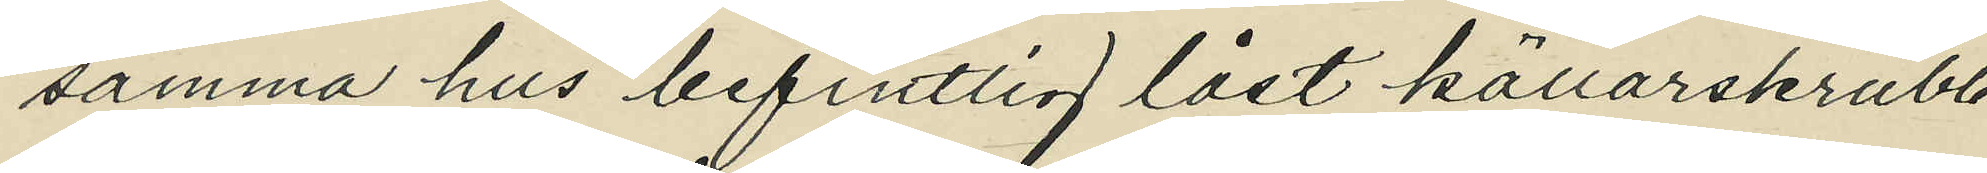samma hus befintlig låst källarskrubb
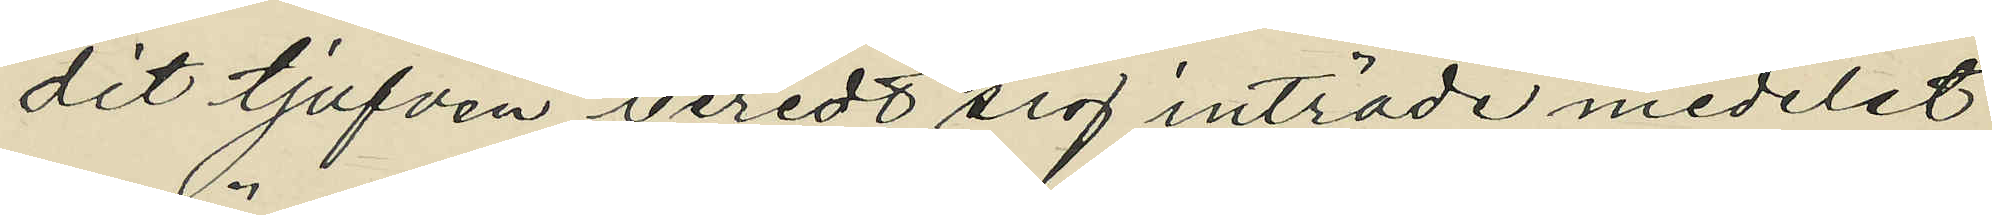dit tjufven beredt sig inträde medelst
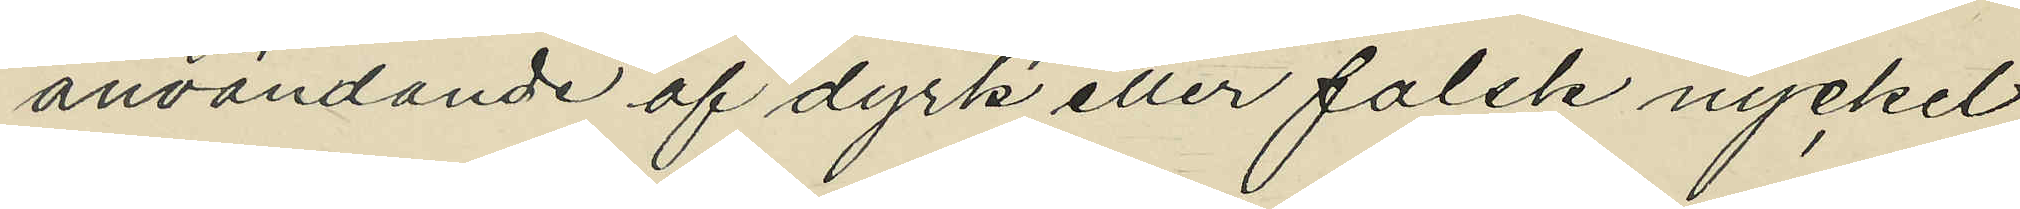användande af dyrk eller falsk nyckel
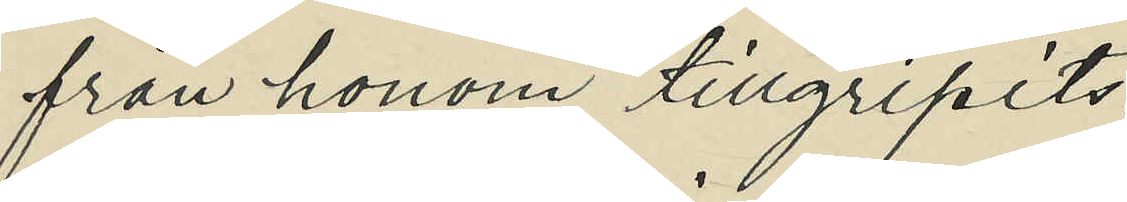från honom tillgripits:
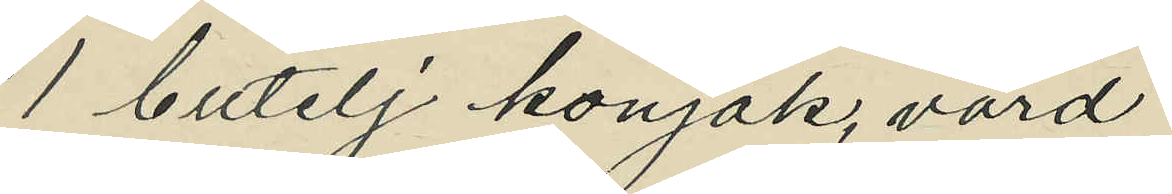1 butelj konjak, värd
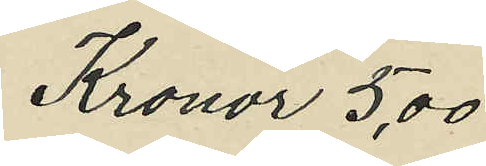Kronor 5,00
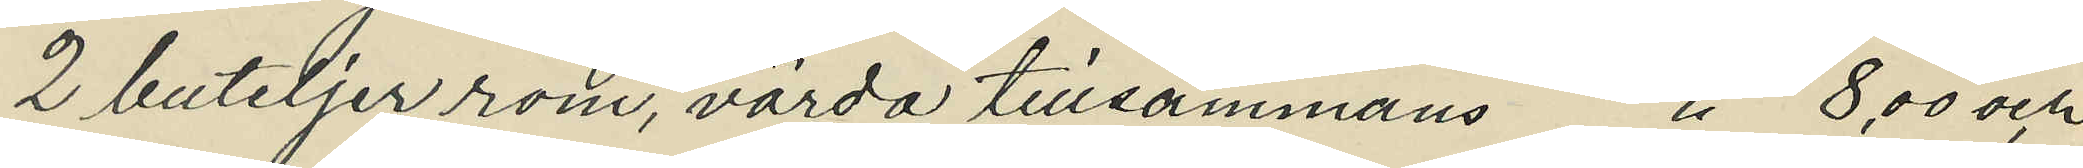2 buteljer rom, värda tillsammans Kronor 8,00 och
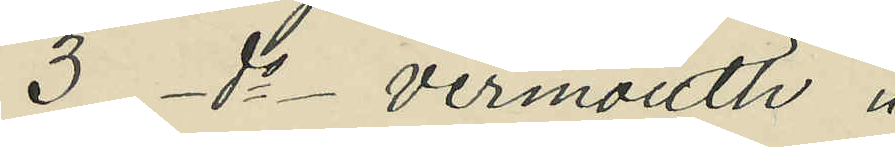3 do vermouth
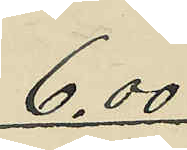6,00
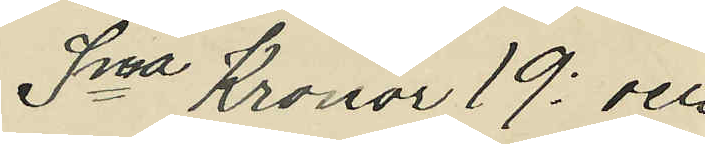Sma Kronor 19; och
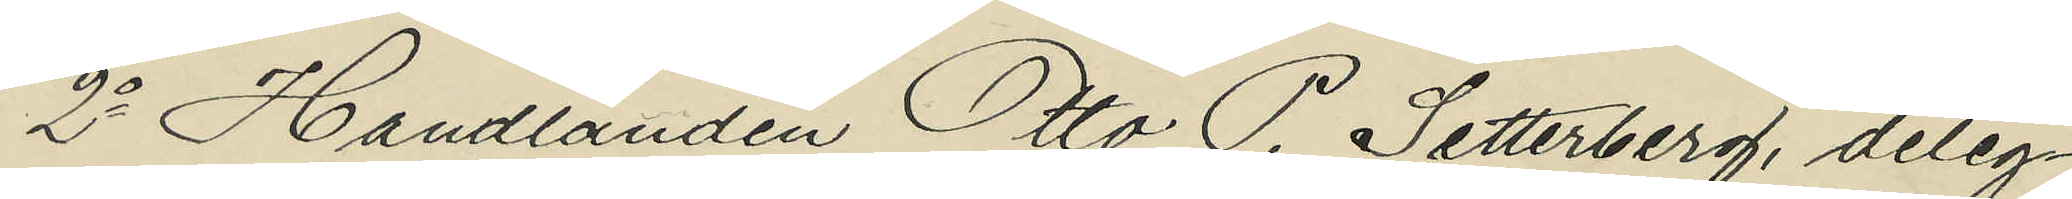2o Handlanden Otto P. Setterberg, deleg¬
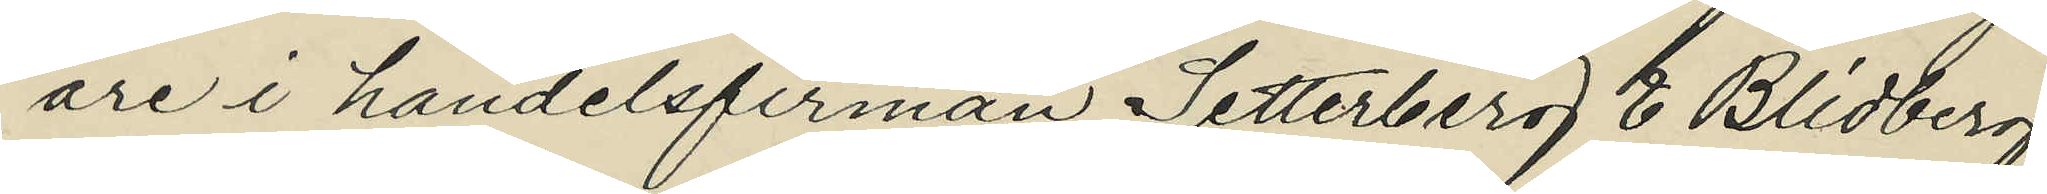are i handelsfirman Setterberg & Blidberg,
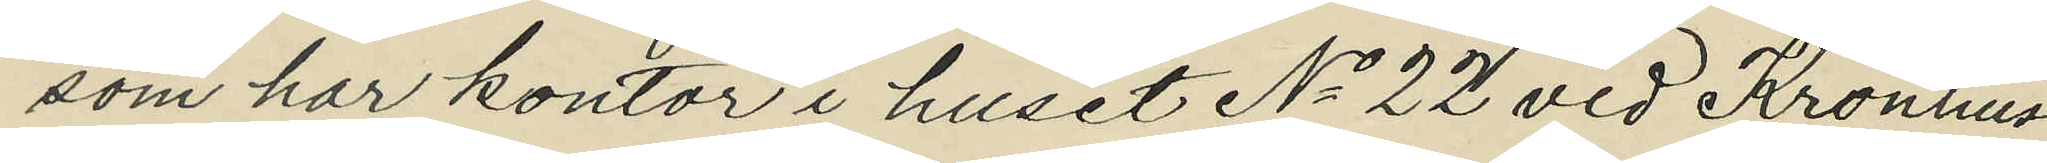som har kontor i huset No 22 vid Kronhus¬
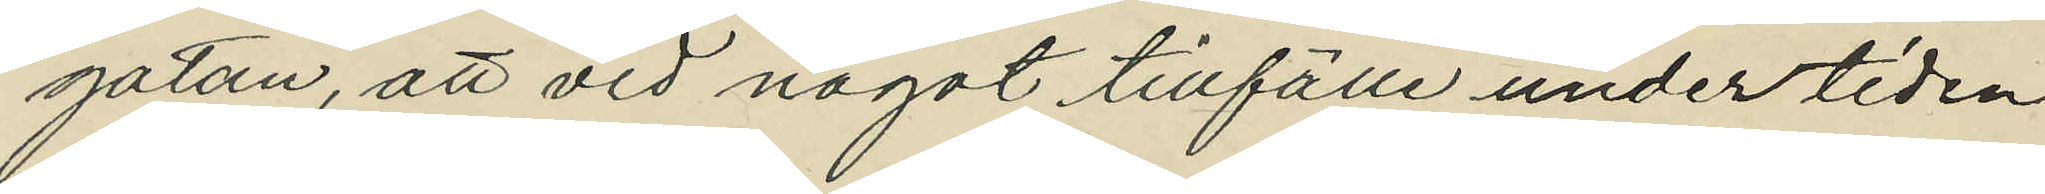gatan, att vid något tillfälle under tiden
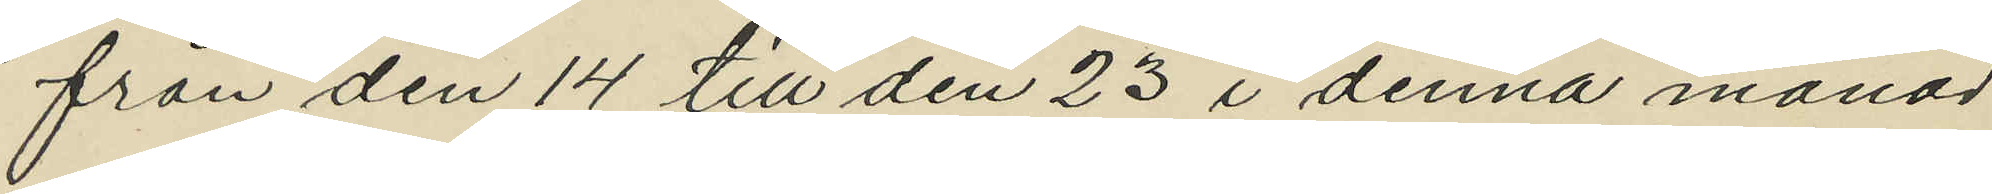från den 14 till den 23 i denna månad
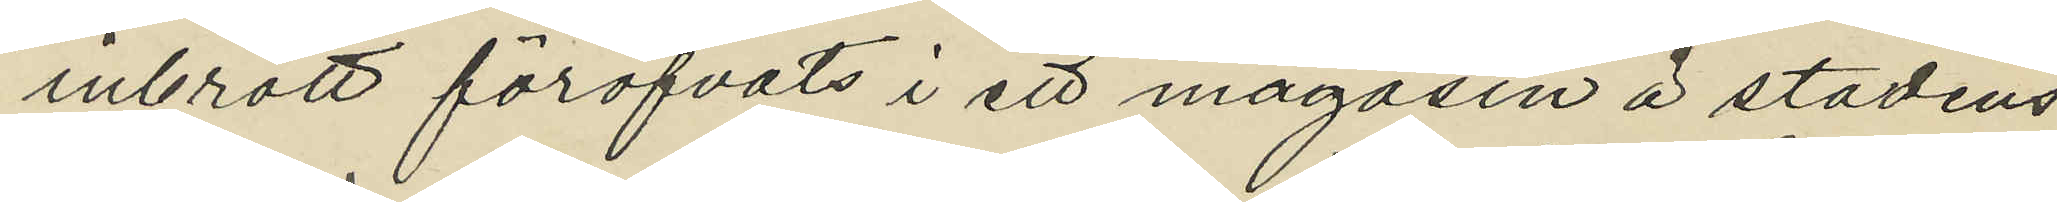inbrott föröfvats i ett magasin å stadens
